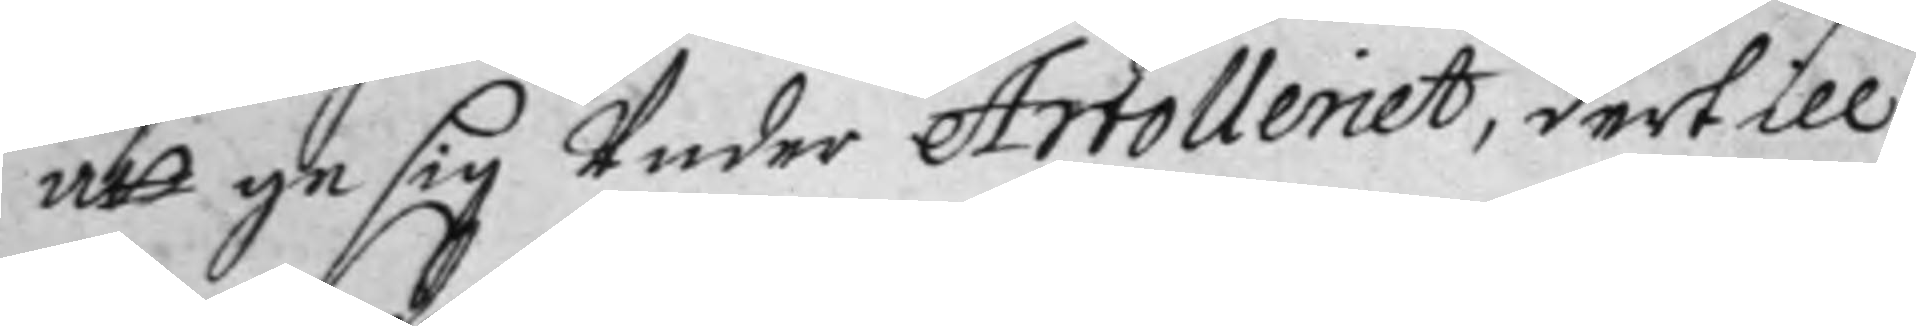att ge sig Under Artolleriet, dertill
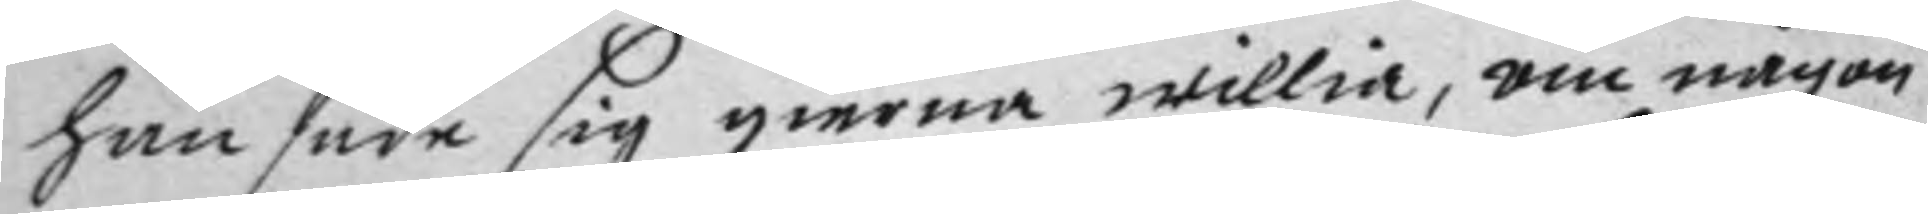han sade sig gierna willia, om någon
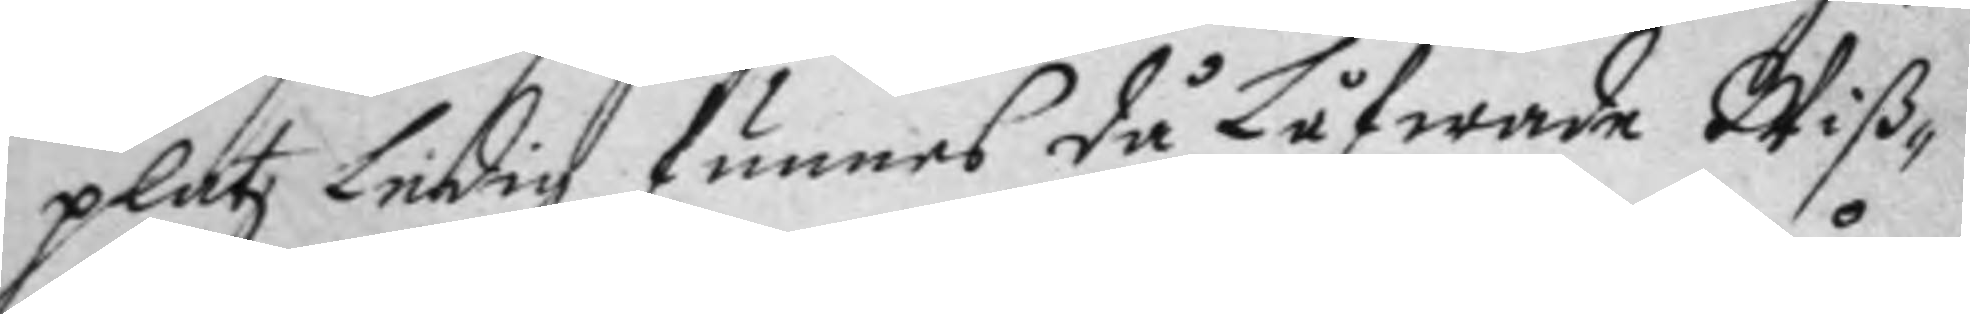platz Ledig funnes då Låfwade Wiß¬
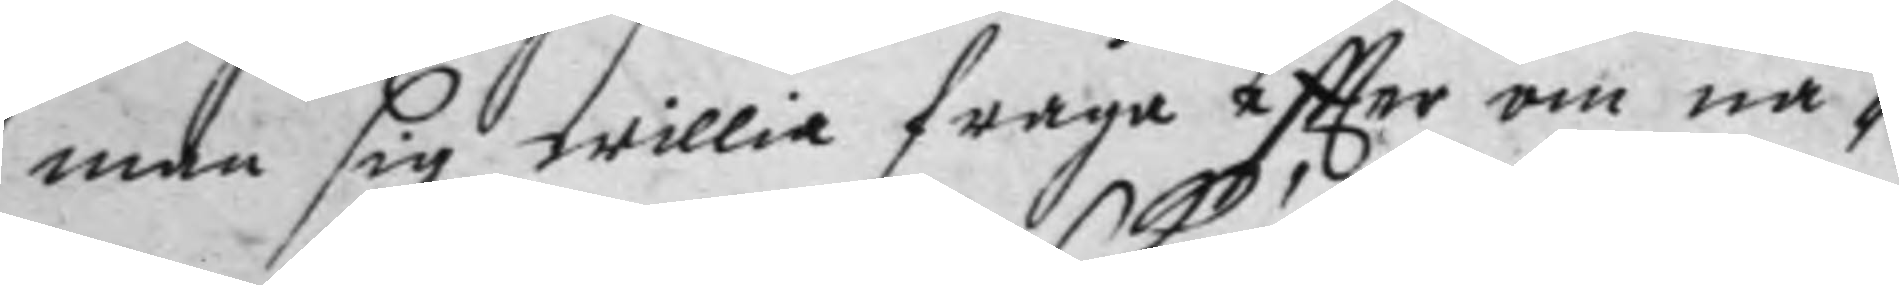man sig willia fråga eftter om nå¬
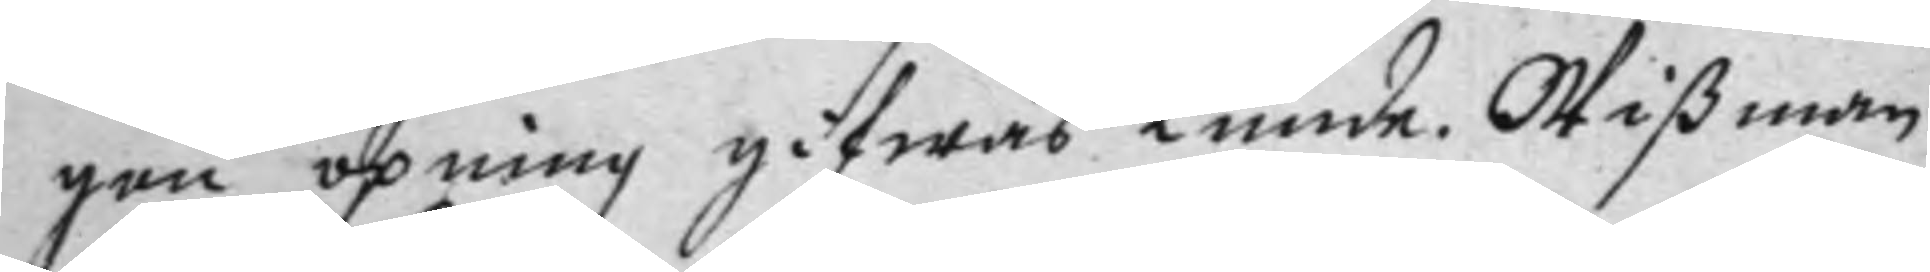gon öpning gifwas kunde, Wißman
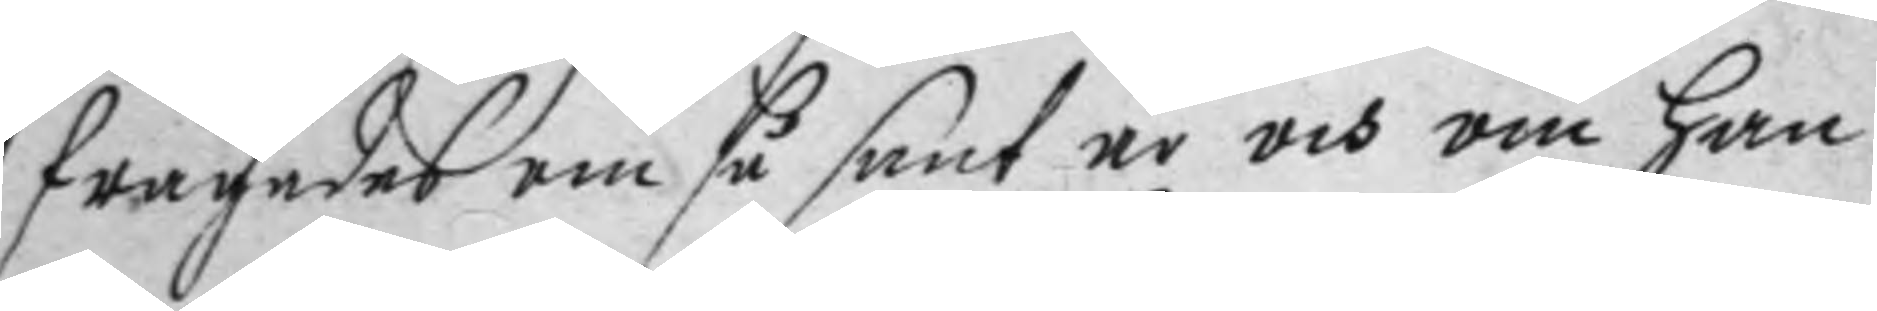frågades om så sant är och om han
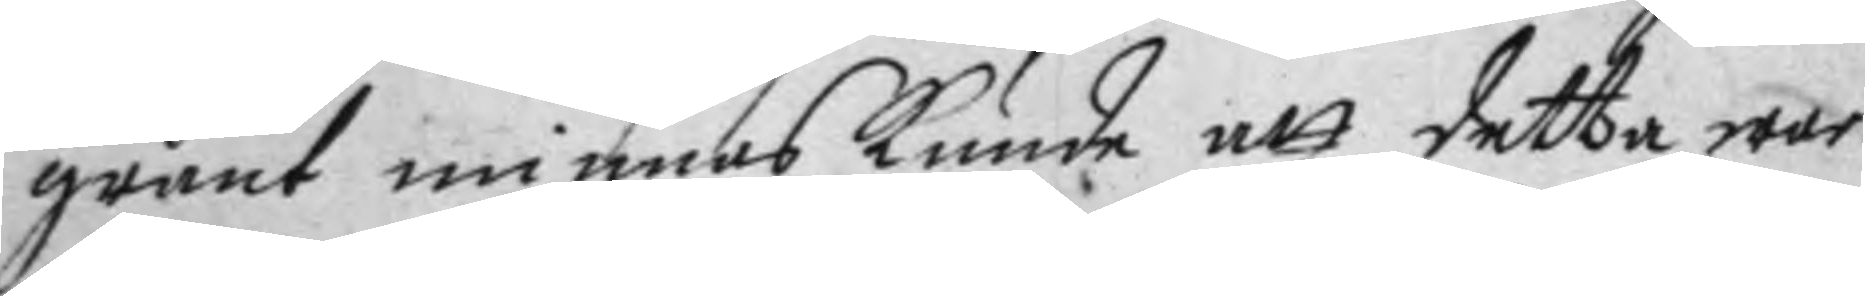grant minnas kunde att detta war
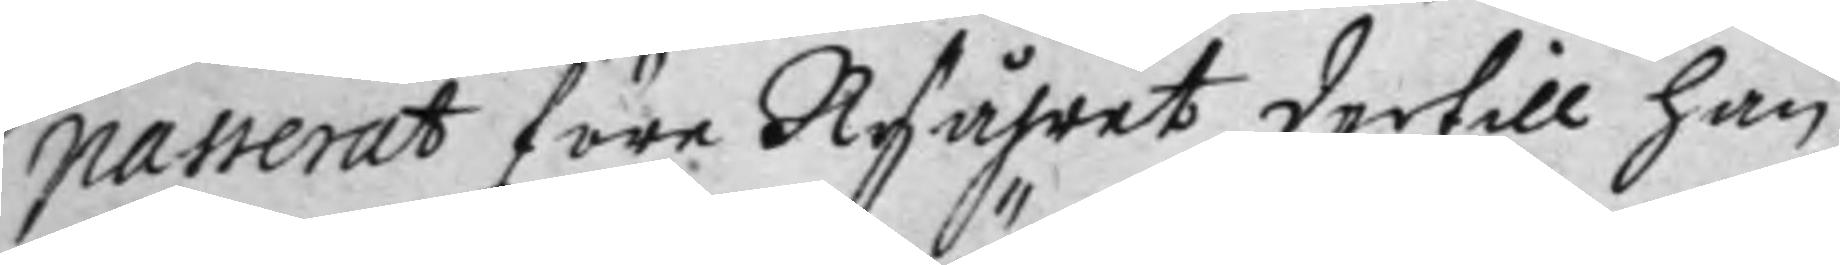passerat före Nyåhret dertill han
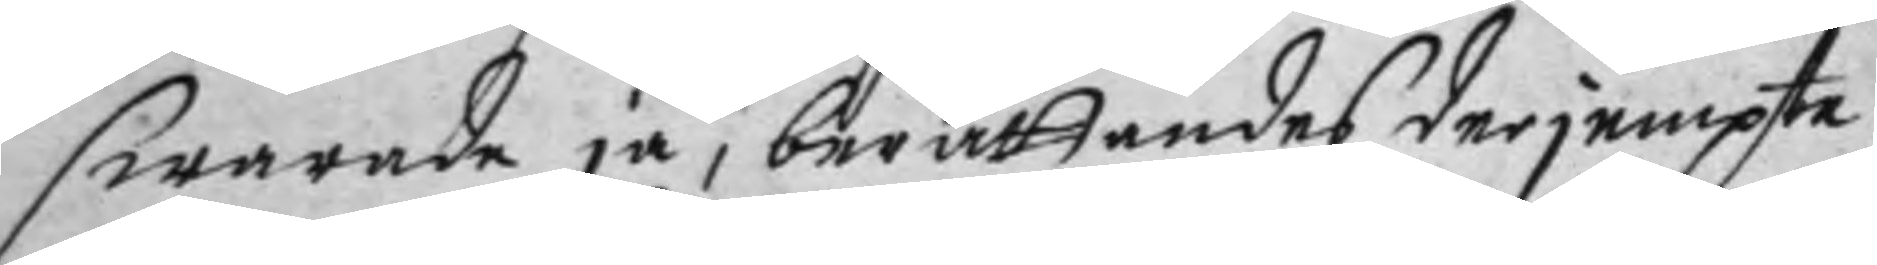swarade ja, berättandes derjempte
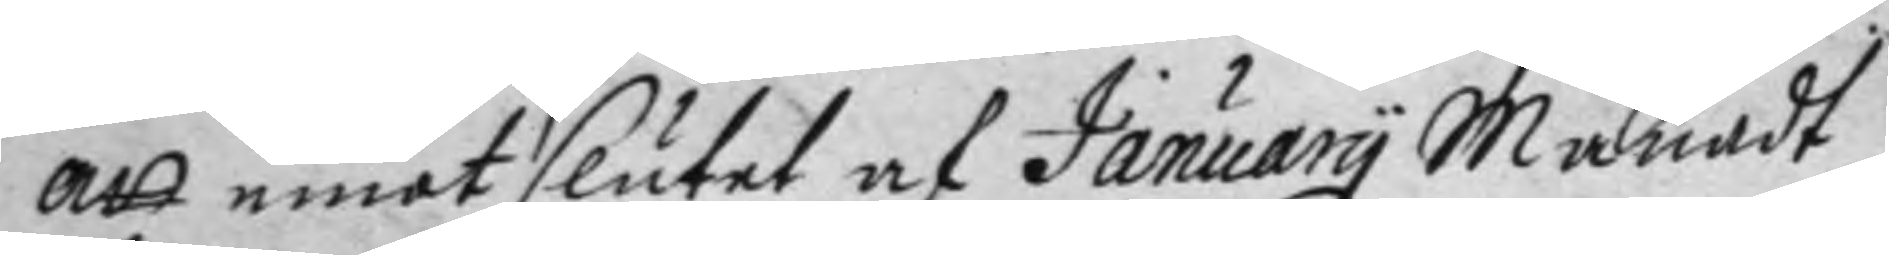att emot slutet af january Månadt
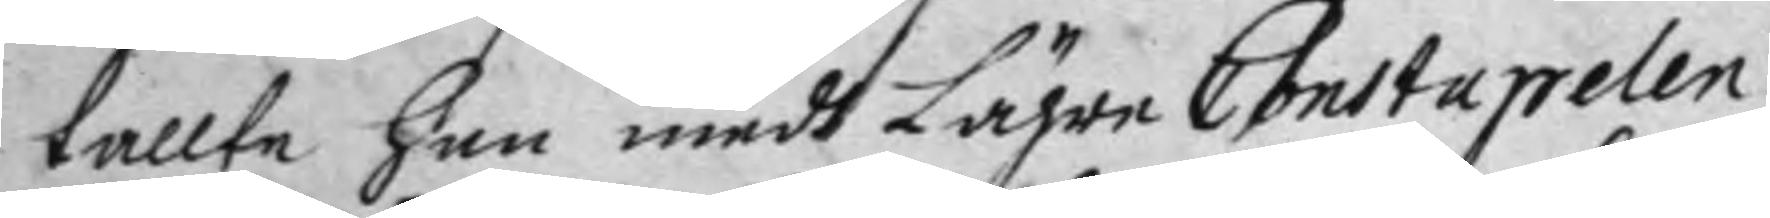tallte han medh Lägre Constapelen
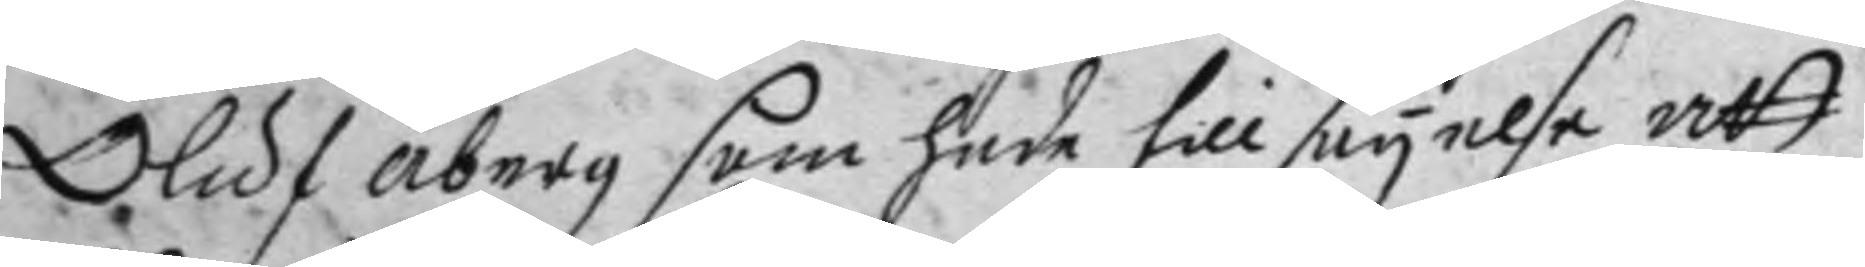Oluf åberg som hade tillsäyelse att
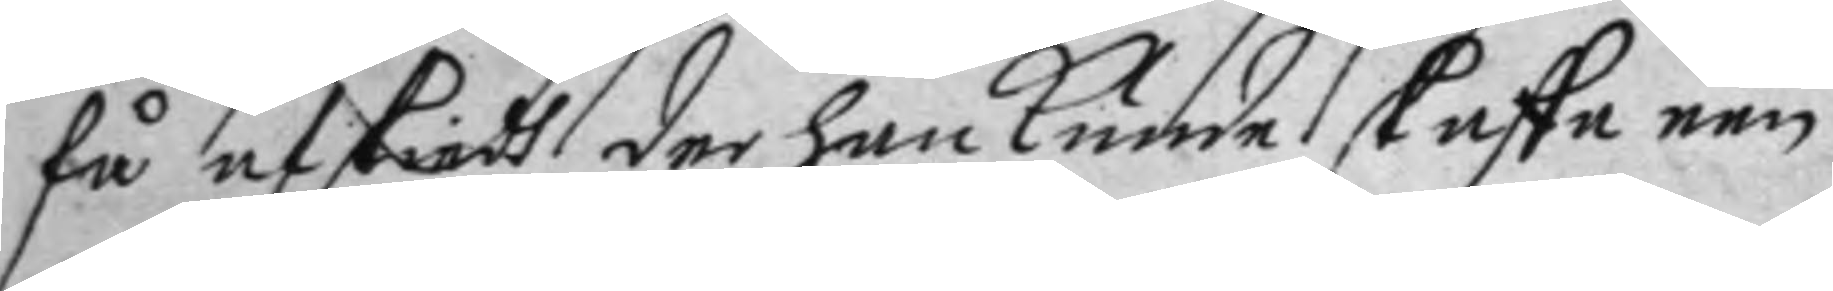få afskiedh der han kunde skaffa een
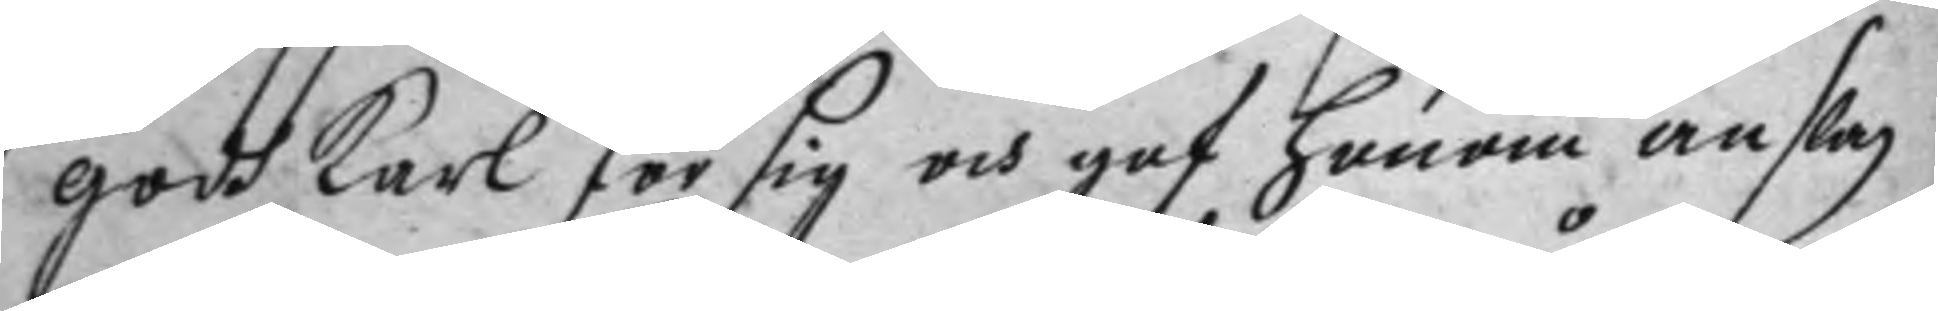godh karl för sig och gaf honom enslag
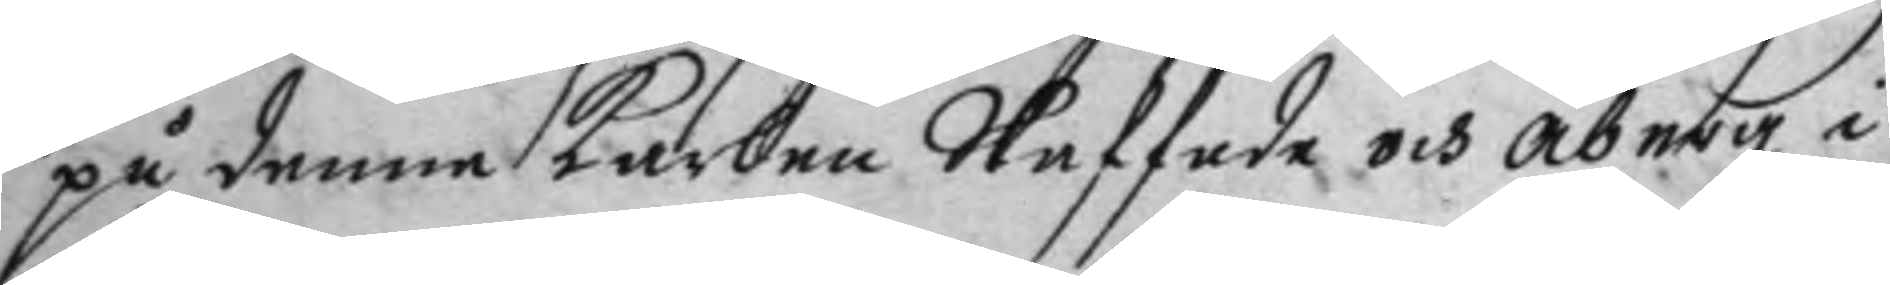på denne karlen Skaffade och åberg i
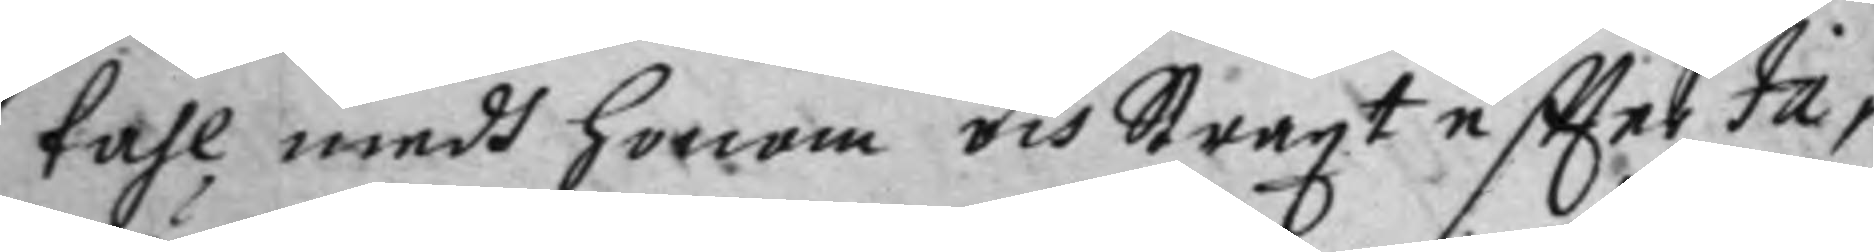tahl mdg honom och Straxt eftter Ja¬
